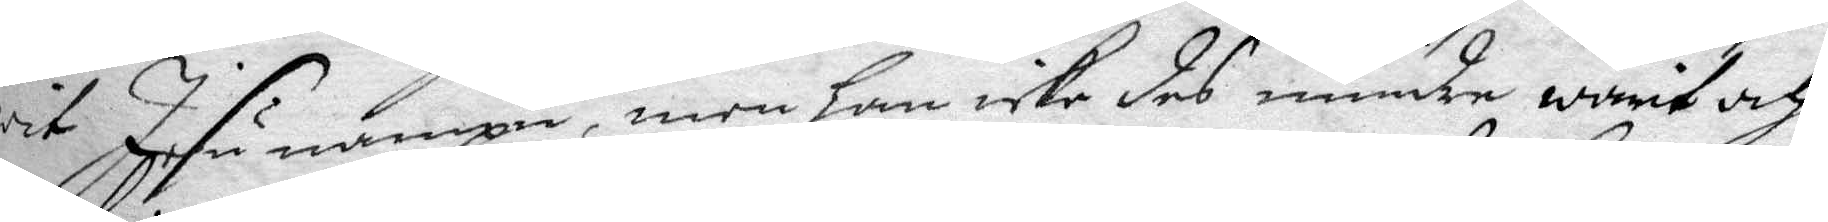wit Jesu nampn men han icke des mindre warit och
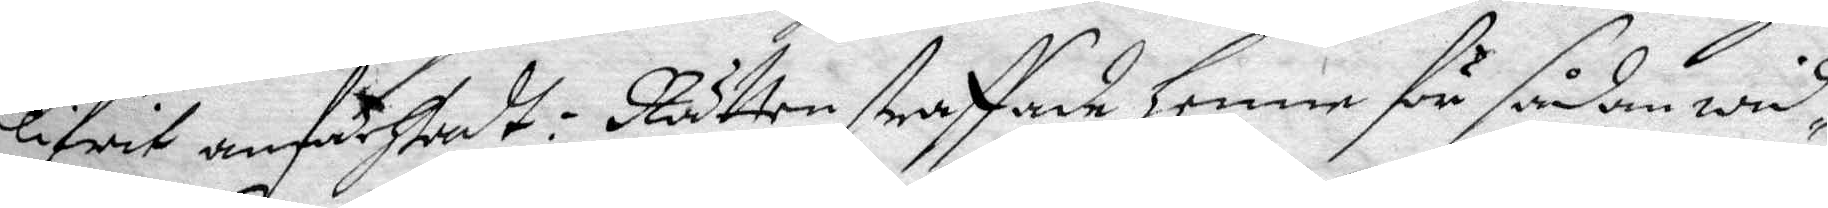blifwit anfächtadt: Rätten straffade henne för sådan wid¬
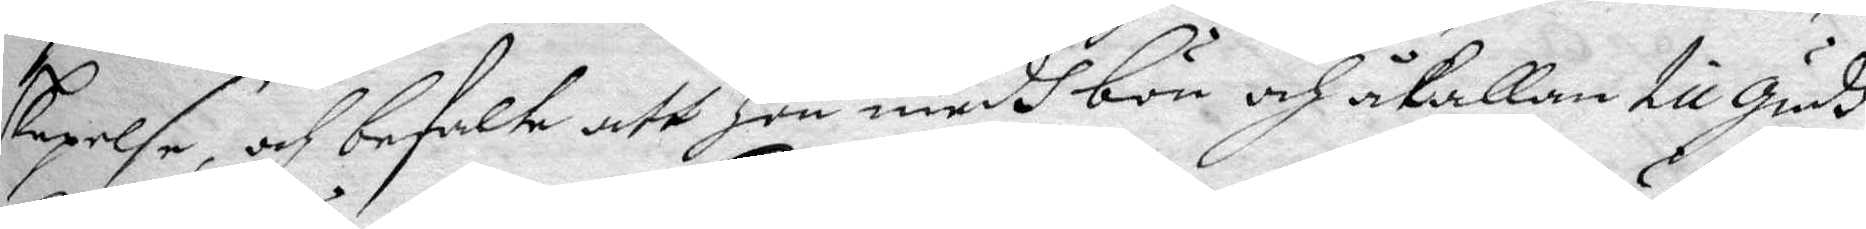skepelse, och befalte att hon medh bön och åkallan till gudh
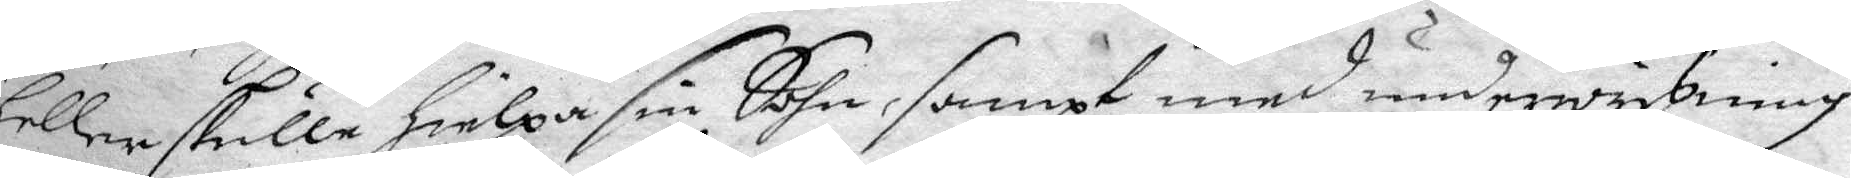hellre skulle hielpa sin Sohn, sampt med underwysning
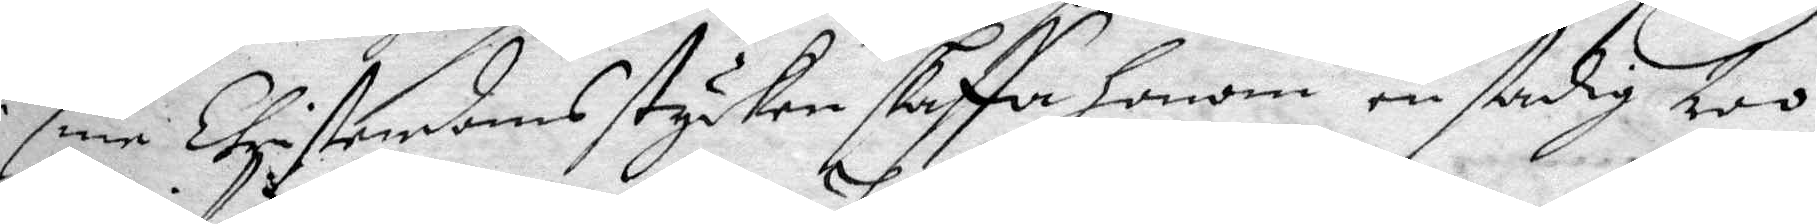i sine Christensoms stycken skaffa honom en stadig tro
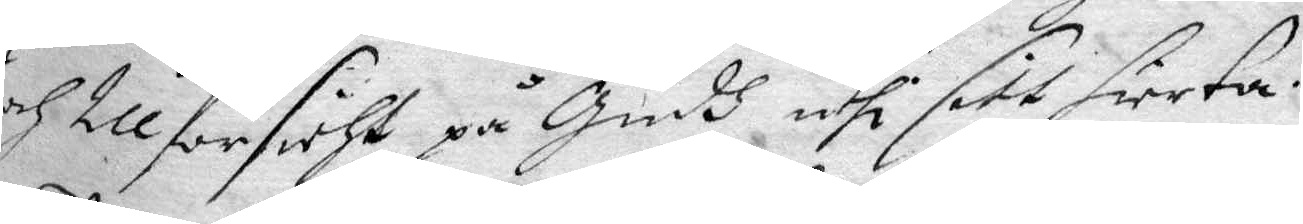och tillförsicht på Gudh uthi sitt hierta.
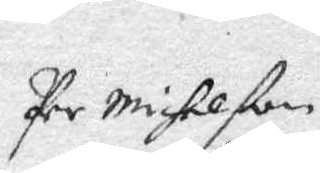Per Michelßon
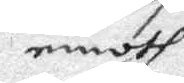emoth
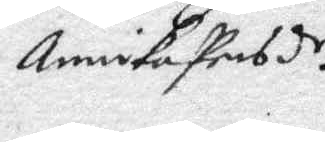Annika Persd.r
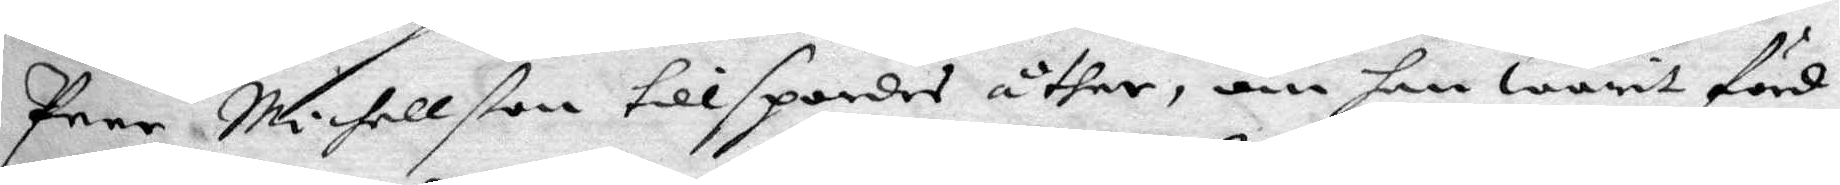Peer Michellßon tillspordes åther, om han warit förd
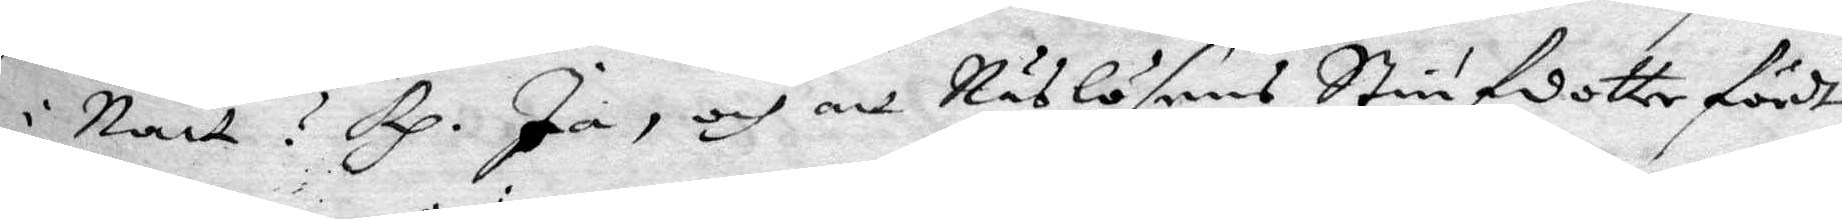i Natt? Rp. Ja, och att Näslösens Stiufdotter fördt
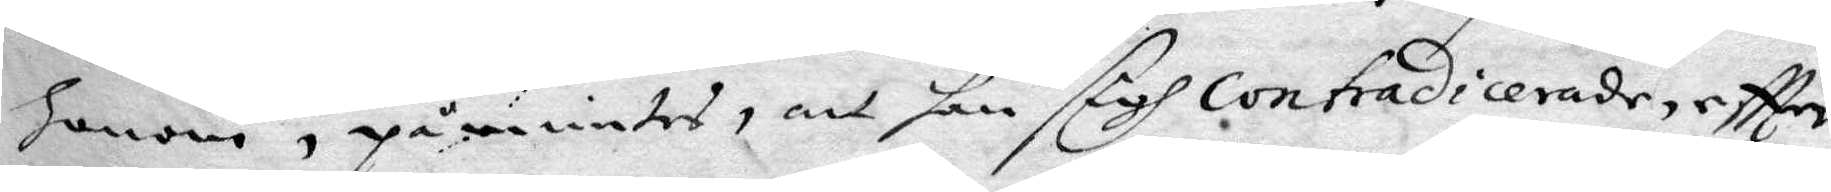honom, påmintes, att han sigh contradicerade, eftter
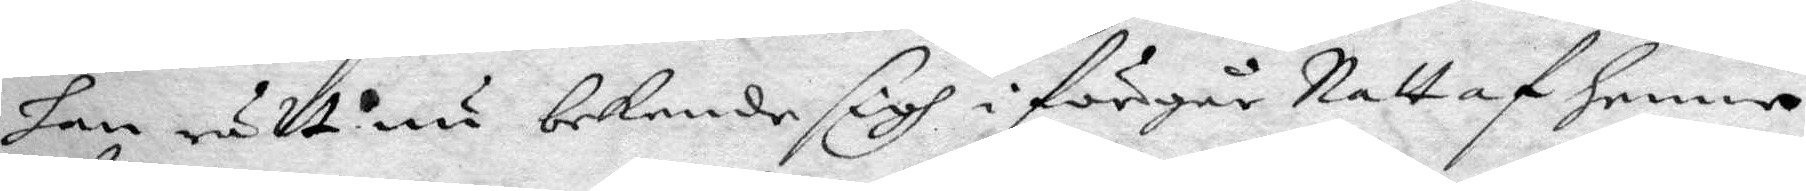han rätt nu bekende sigh i förgår Natt af henne
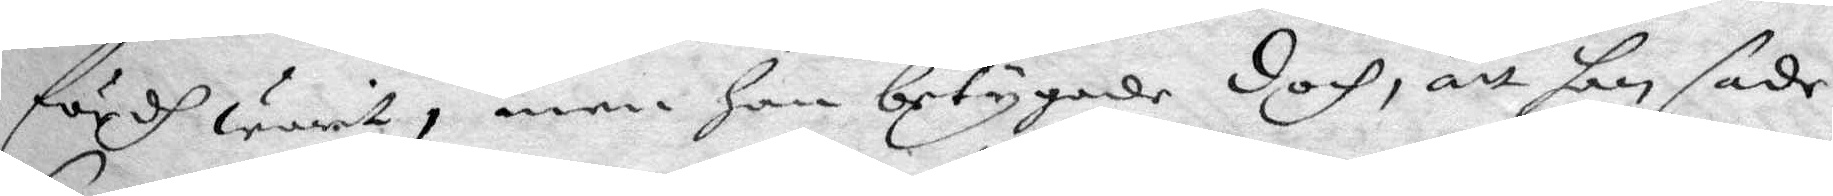fördh warit, men han betygade doch, att han sade
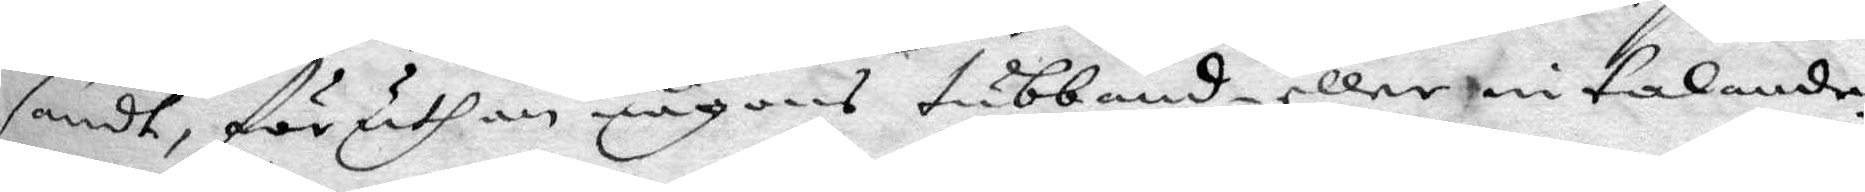sandt, föruthan någons tubbande eller intalande.
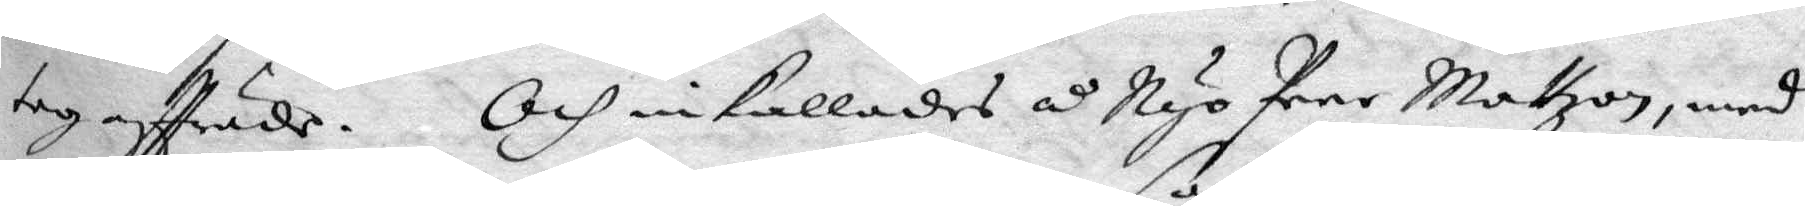tog affträde. Och inkallades å Nyo Peer Mattzon, med
